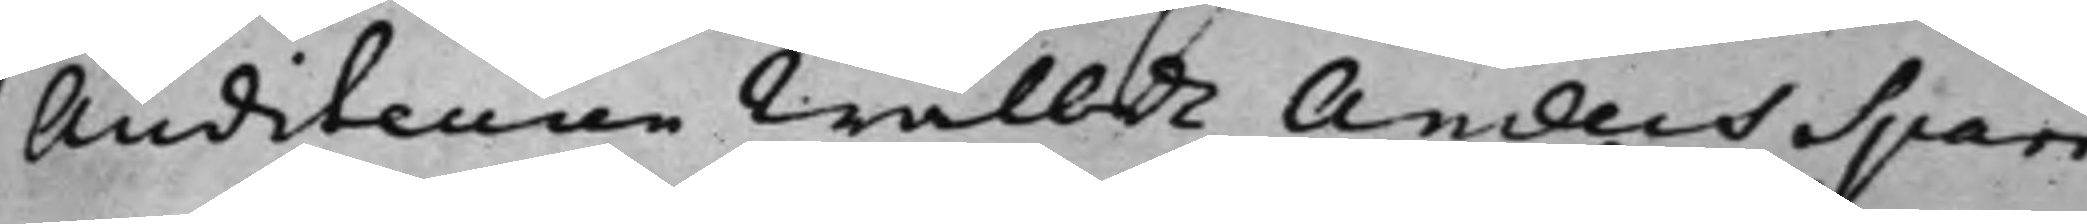Auditeuren Wälbde Anders Sparr¬
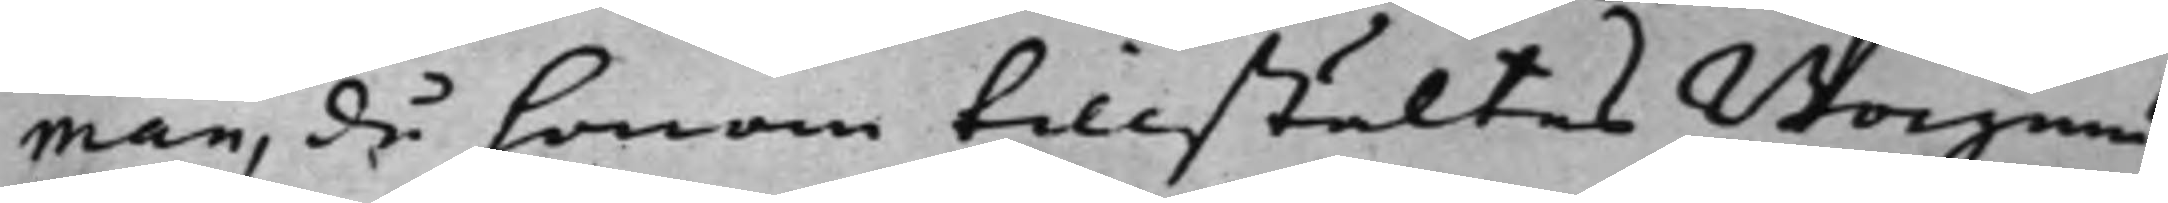man, då honom tillstältes Borgmä¬
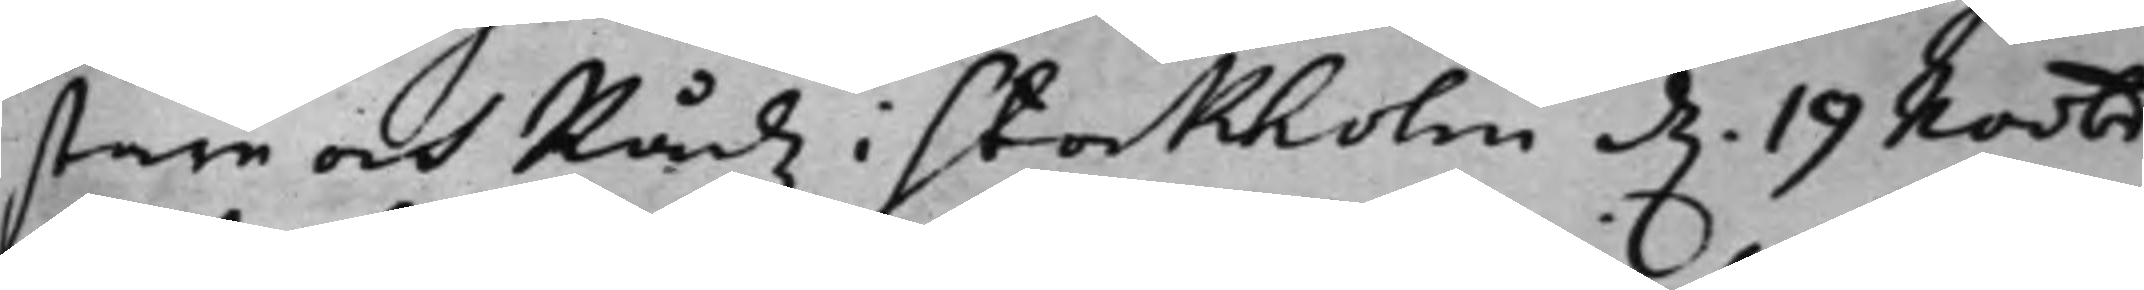stare och Rådz i Stockholm d. 19 Novbr
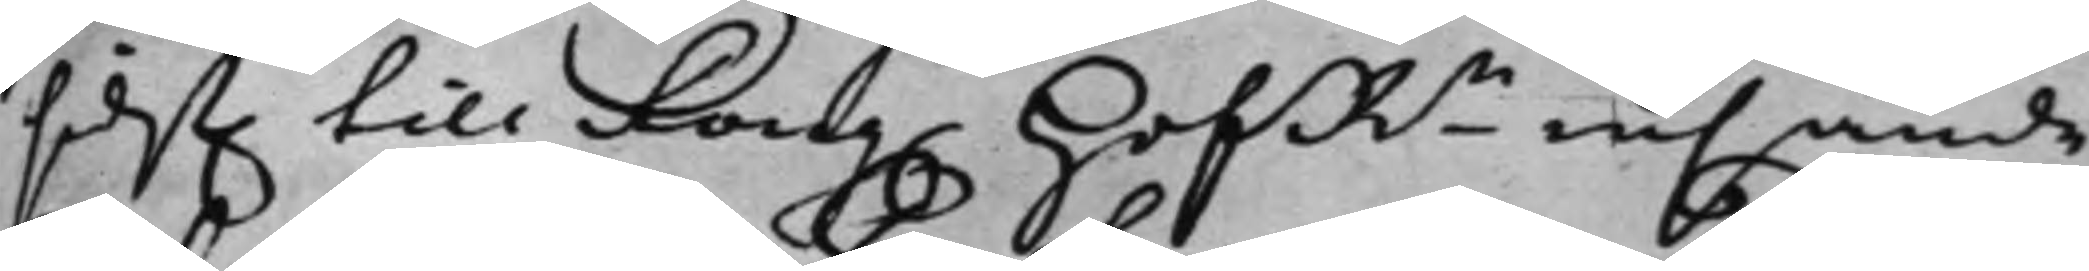sidst. till Kong. HofRn insände
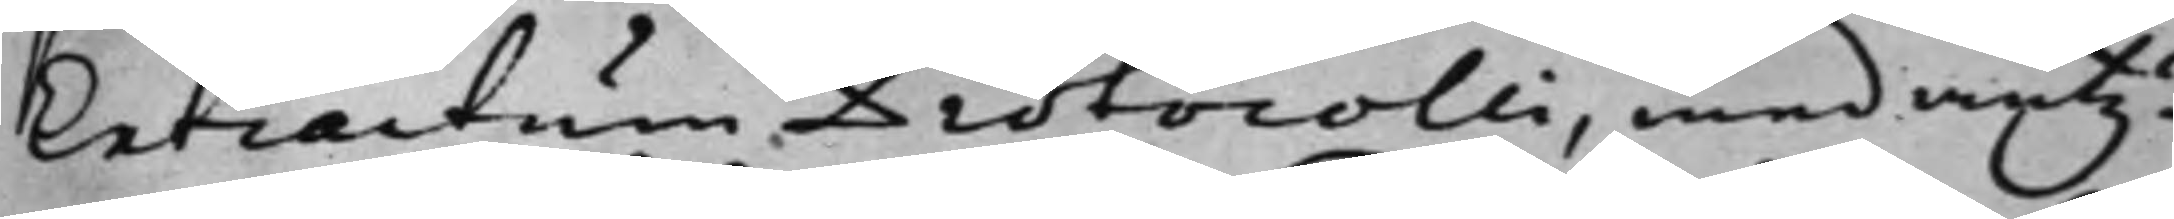Extractum Protocolli, med anty¬
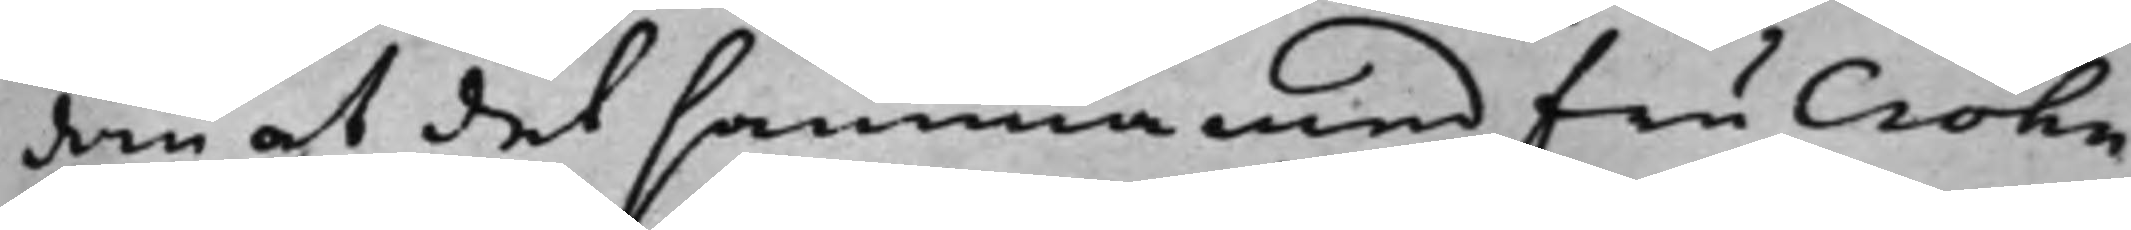dan at det samma med fru Crohn
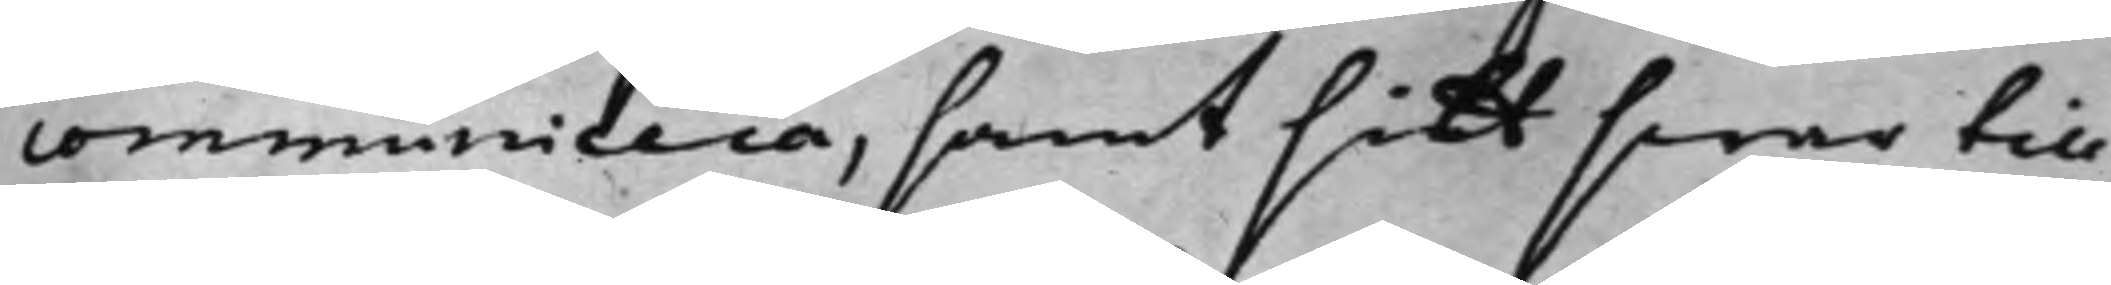communicera, samt sitt swar till
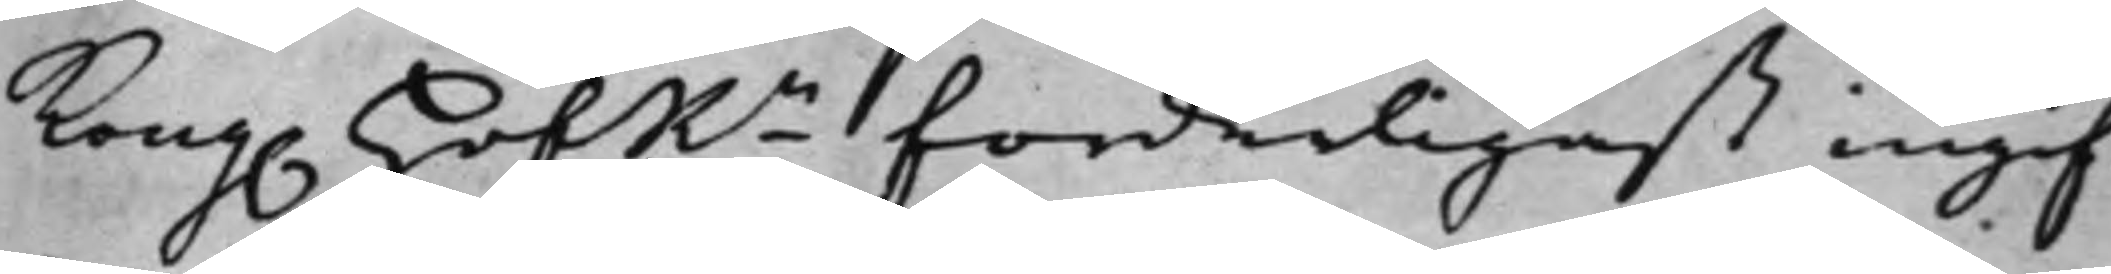Kong. HofRn forderligast ingif¬
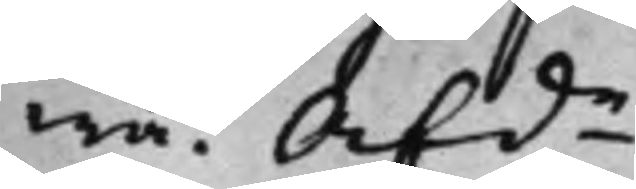wa. Afde
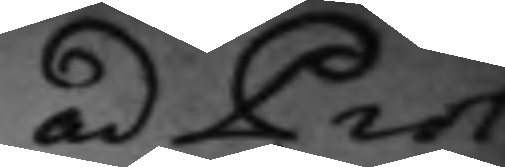ad Prot:
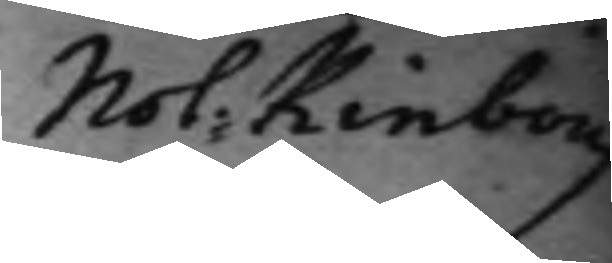Not: Kinborg
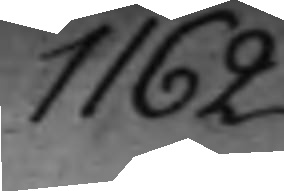1162.
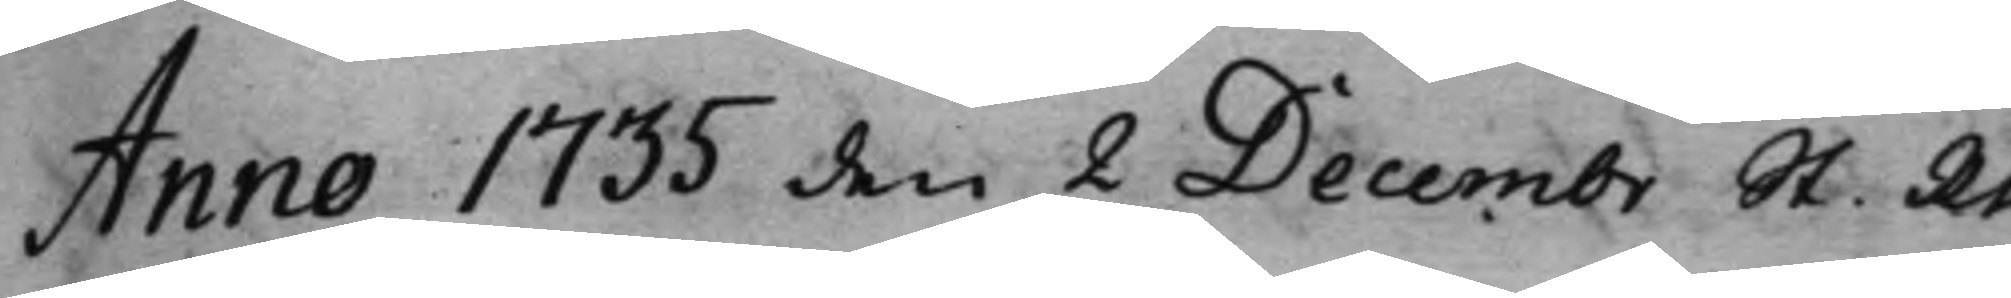Anno 1735 den 2 Decembr St. Rt
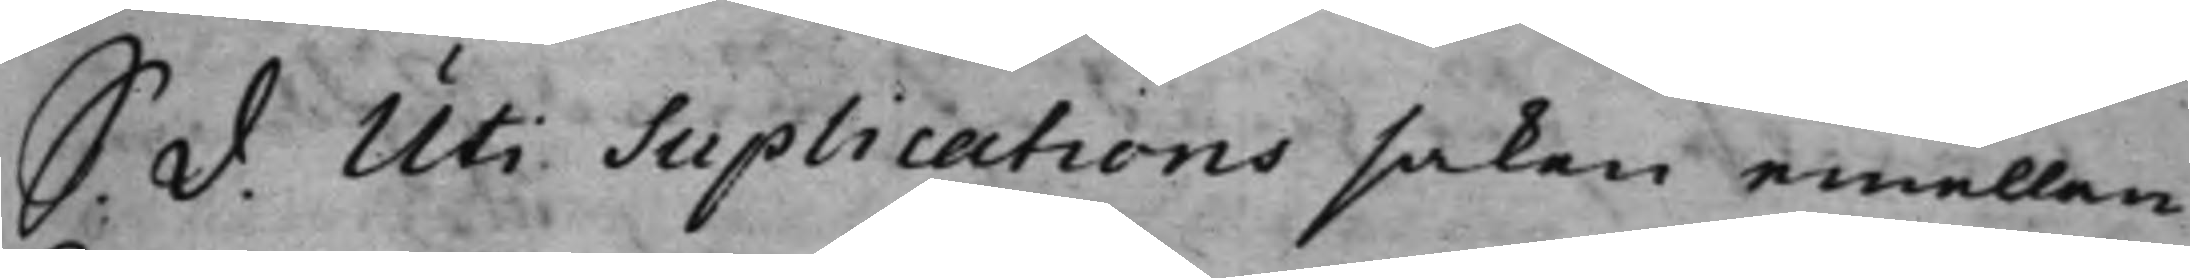S. d. Uti Suplications saken emellan
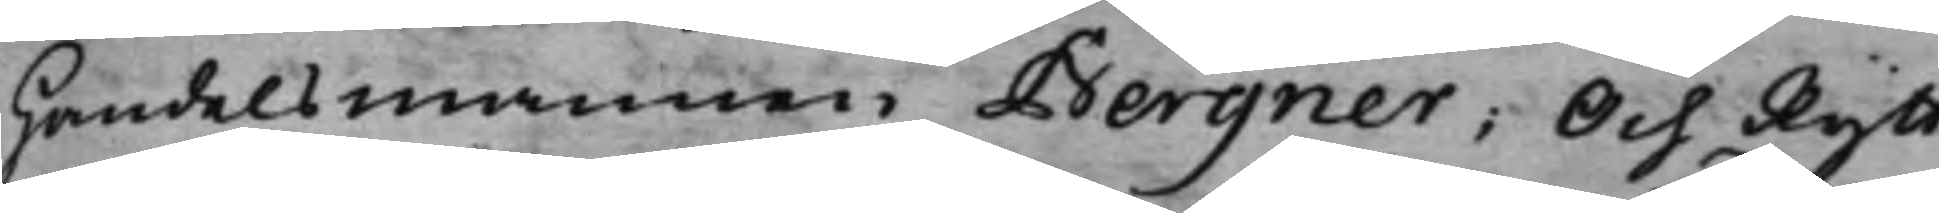Handelsmannen Bergner; Och Rytt¬
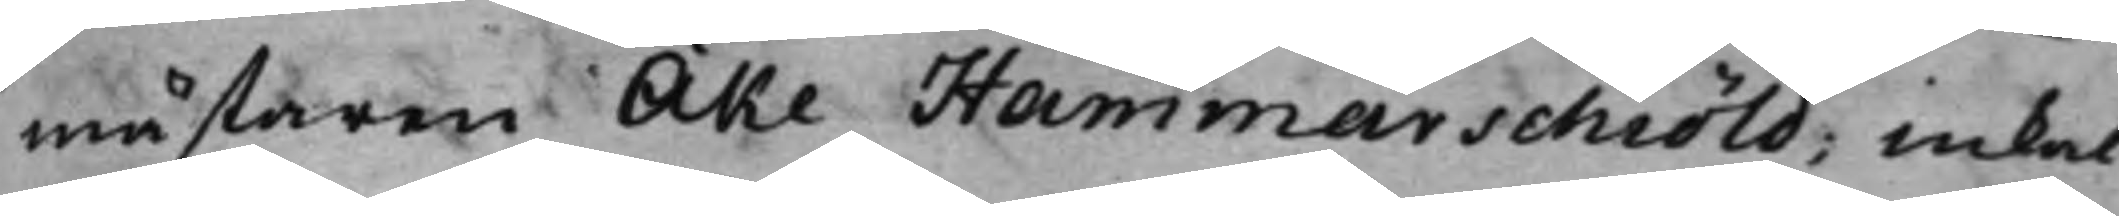mästaren Åke Hammarschiöld; inkal¬
